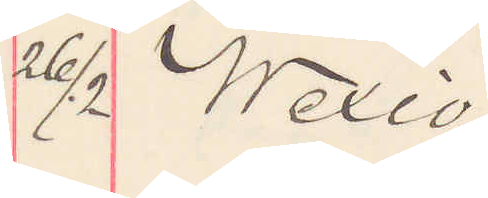26/2 Wexiö
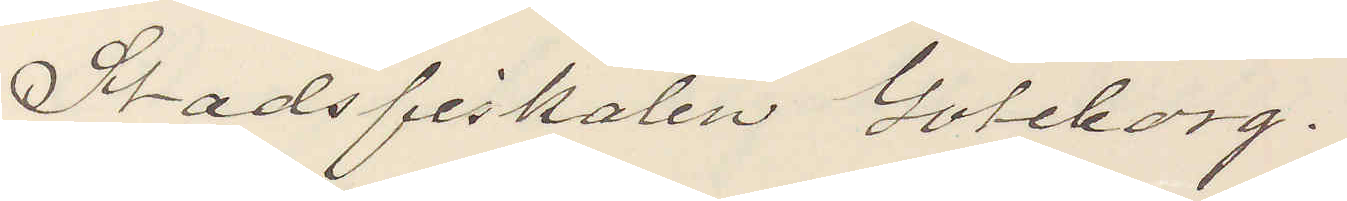Stadsfiskalen Göteborg.
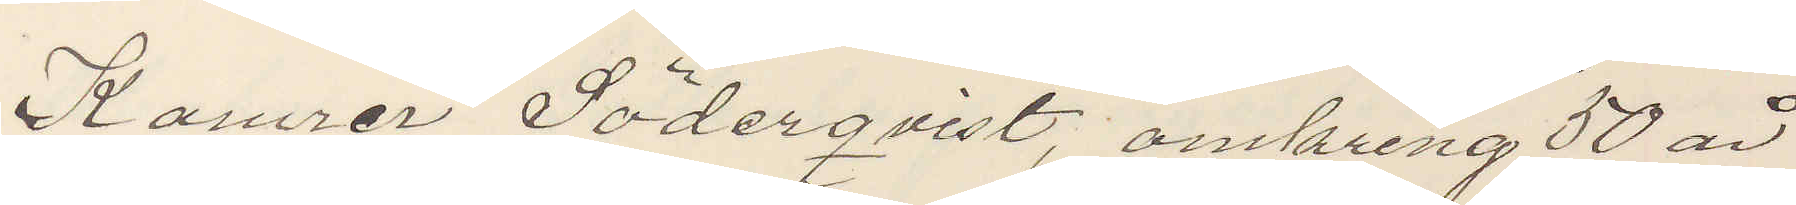Kamrer Söderqvist, omkring 50 ar
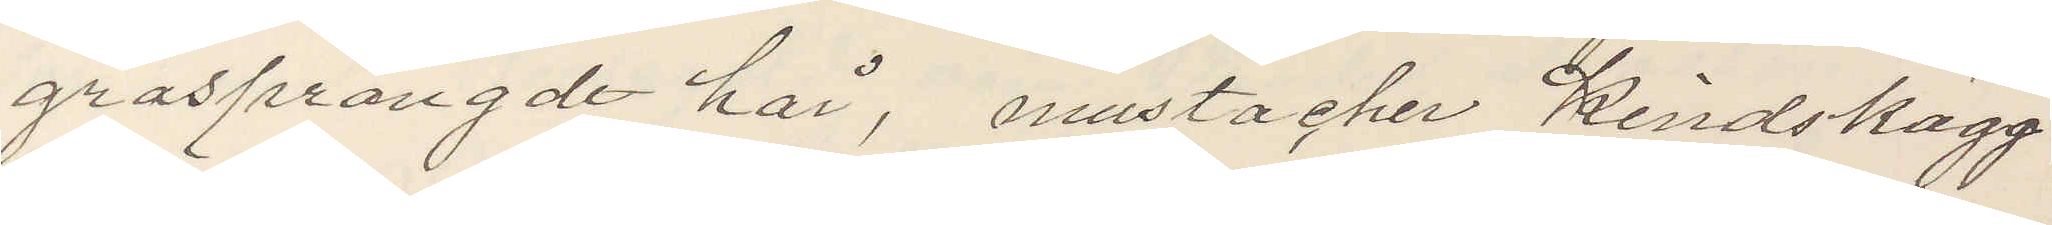gråsprängdt hår, mustacher Kindskägg
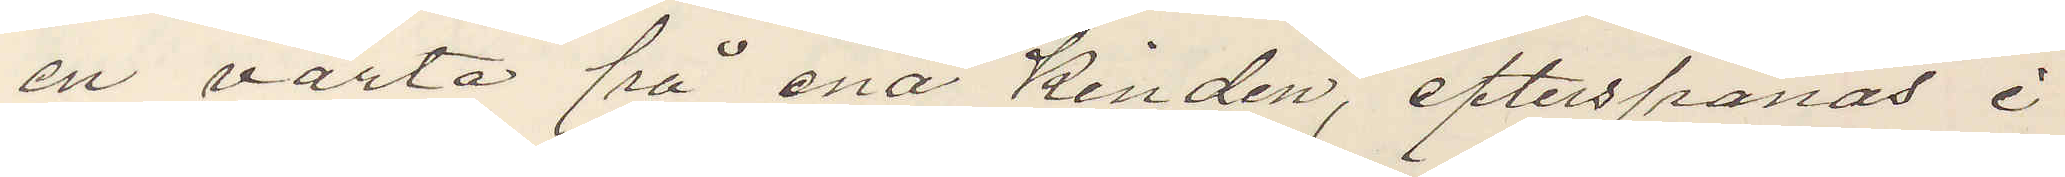en vårta på ena kinden, efterspanas i
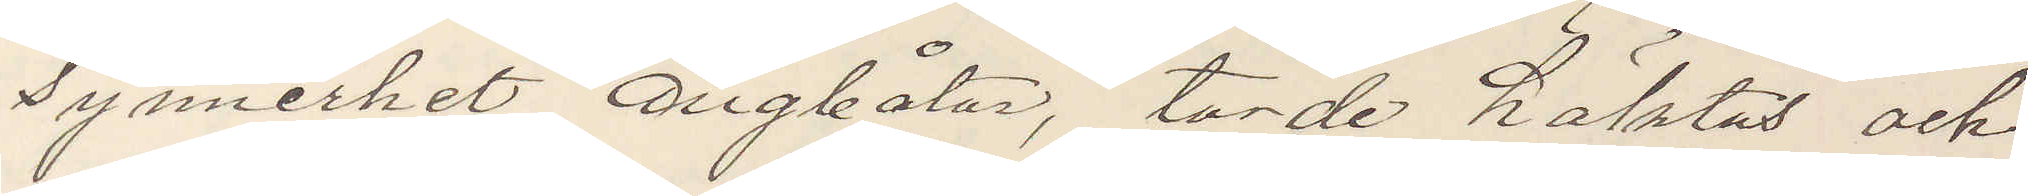synnerhet ångbåtar, torde häktas och
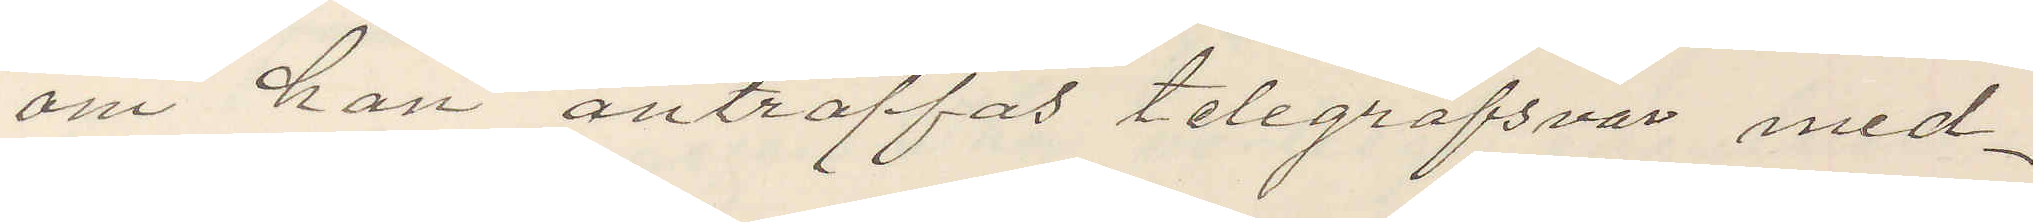om han anträffas telegrafsvar med¬
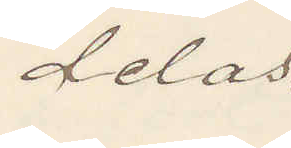delas.
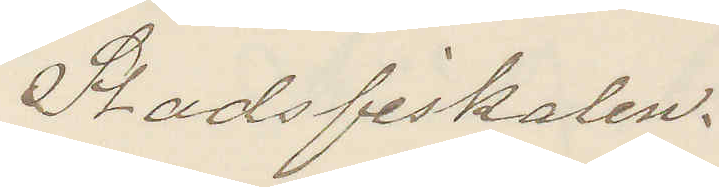Stadsfiskalen.
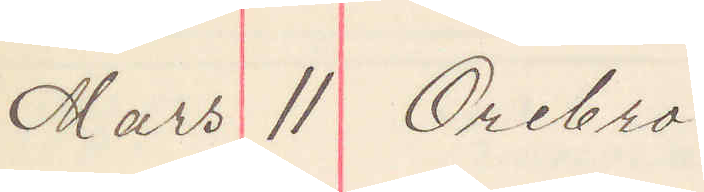Mars 11 Örebro
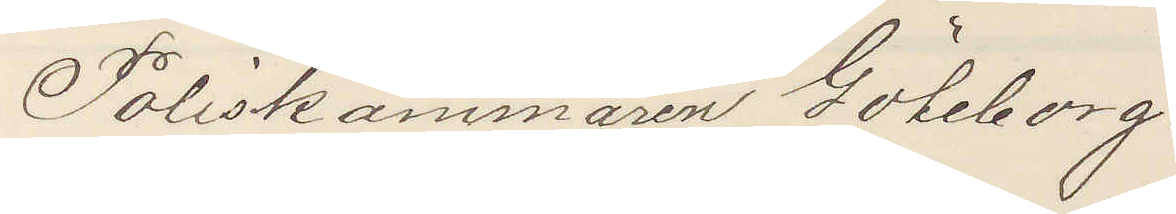Poliskammaren Göteborg.
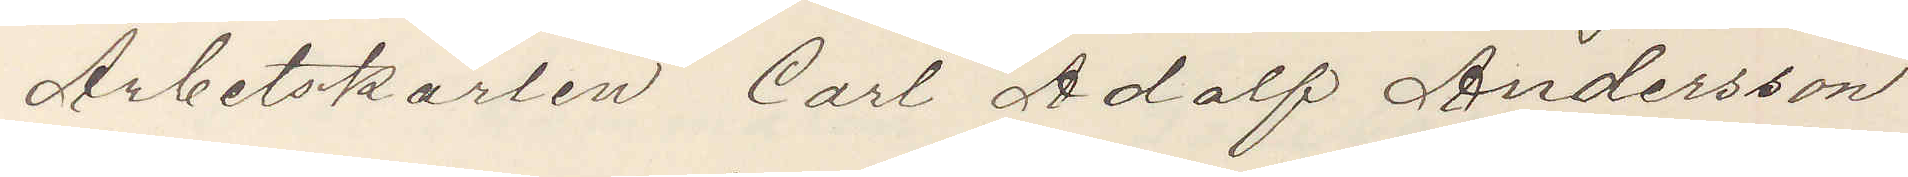Arbetskarlen Carl Adolf Andersson
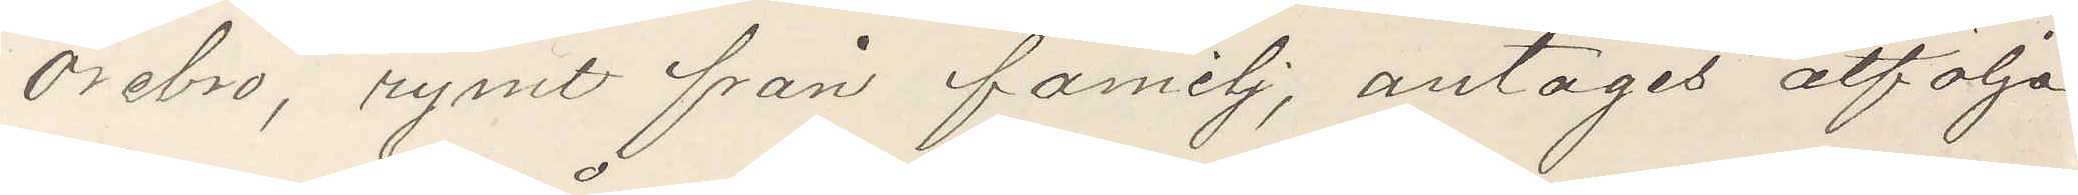Örebro, rymt från familj, antages åtfölja
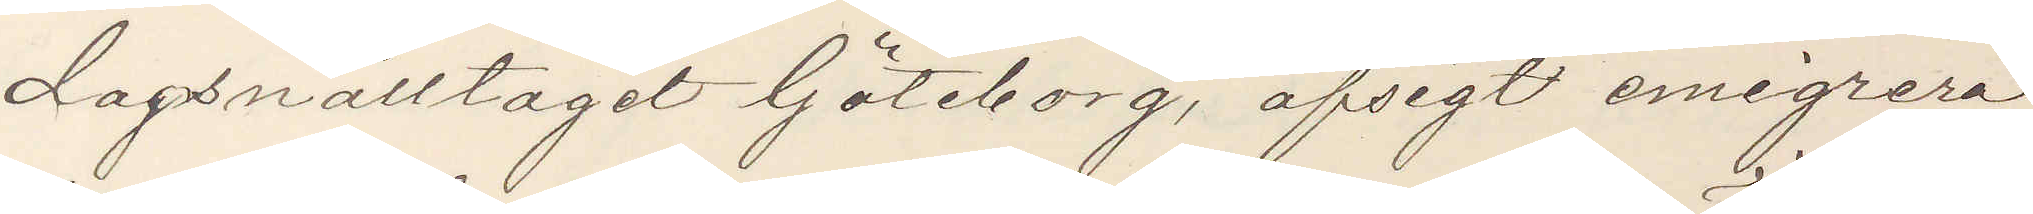dagsnälltåget Göteborg, afsigt emigrera,
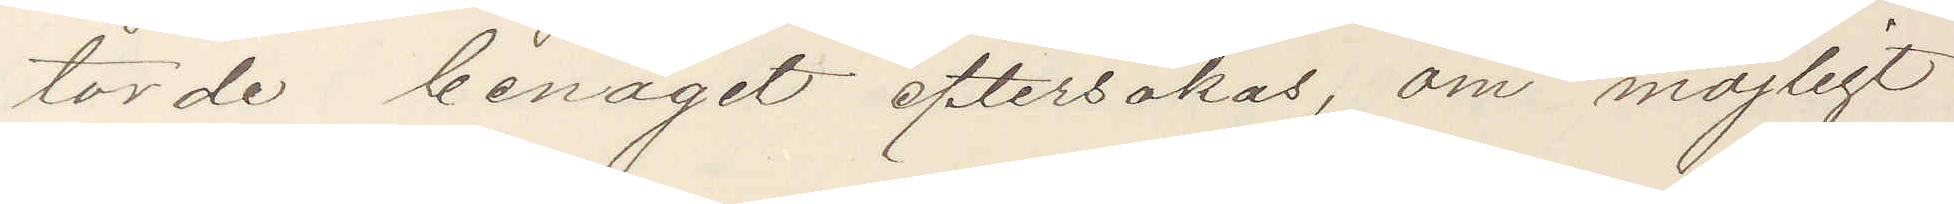torde benäget eftersökas om möjligt
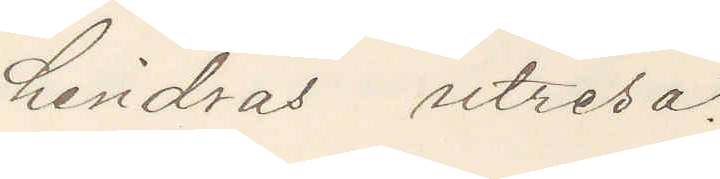hindras utresa.
